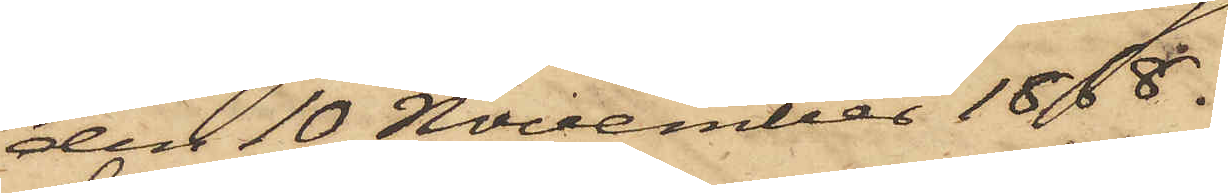den 10 November 1868.
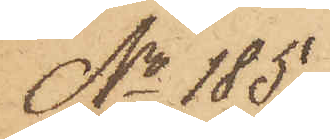No 185.
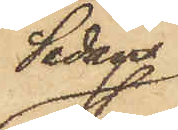Sedan
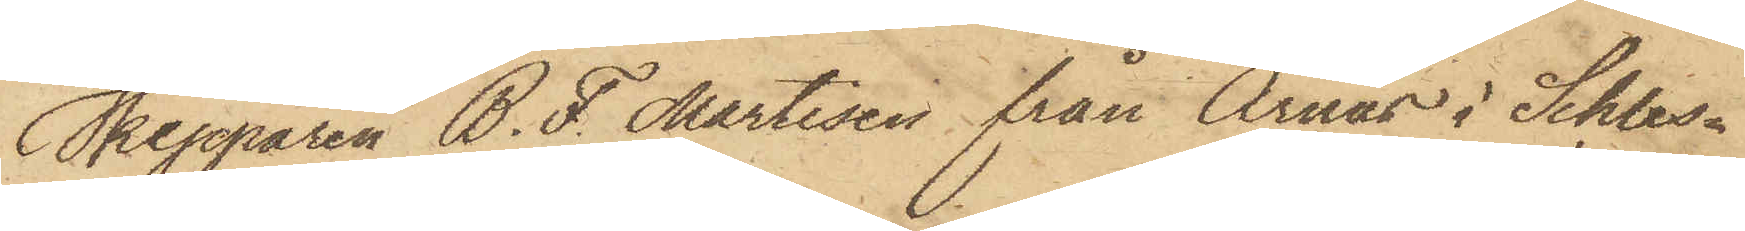Skepparen B. F. Martisen från Arnäs i Schles¬
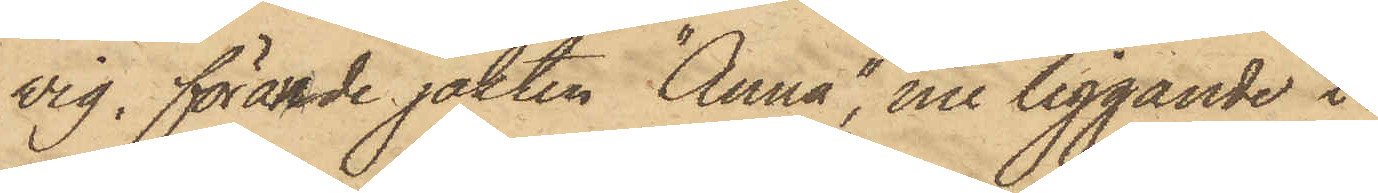wig, förande jakten "Anna", nu liggande i
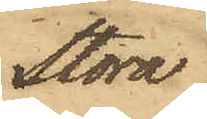Stora
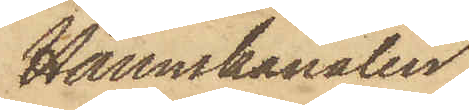Hamnkanalen,
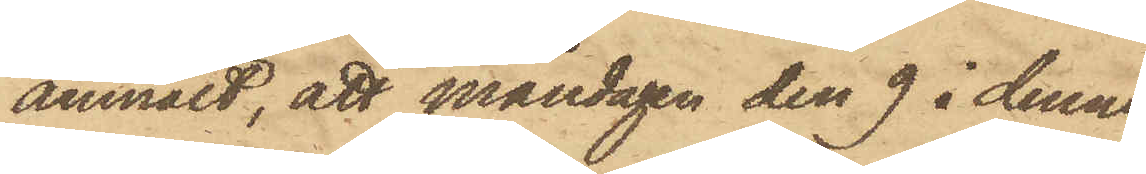anmält, att måndagen den 9 i denna
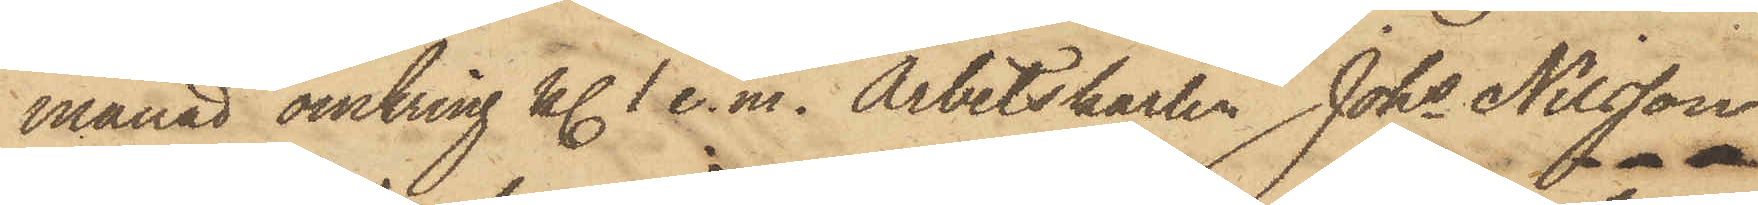månad omkring kl. 1 e.m. Arbetskarlen Johs Nilsson
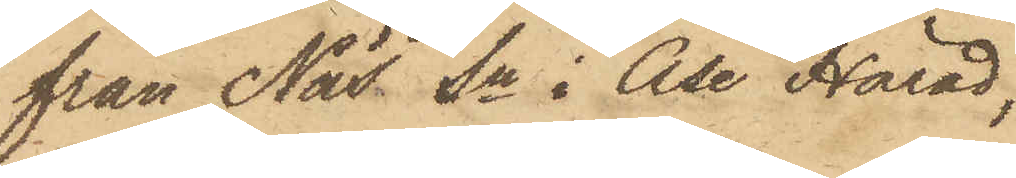från Näs Sn i Åse Härad,
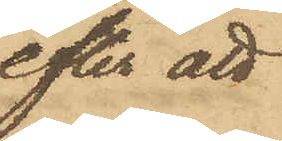efter att
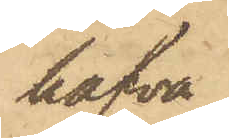hafva,
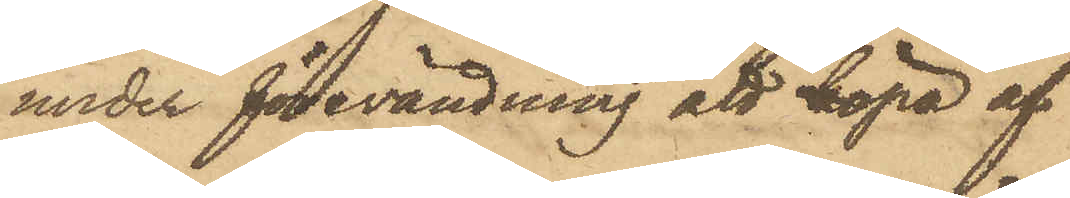under förevändning att köpa af
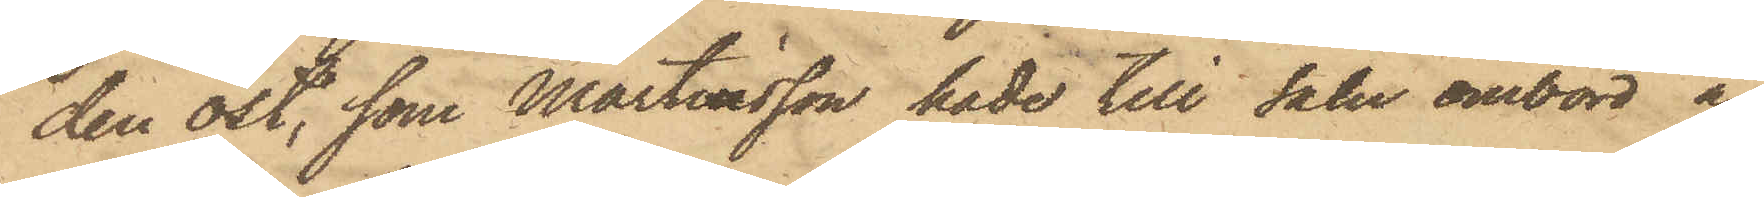den ost, som Martinsson hade till salu ombord å
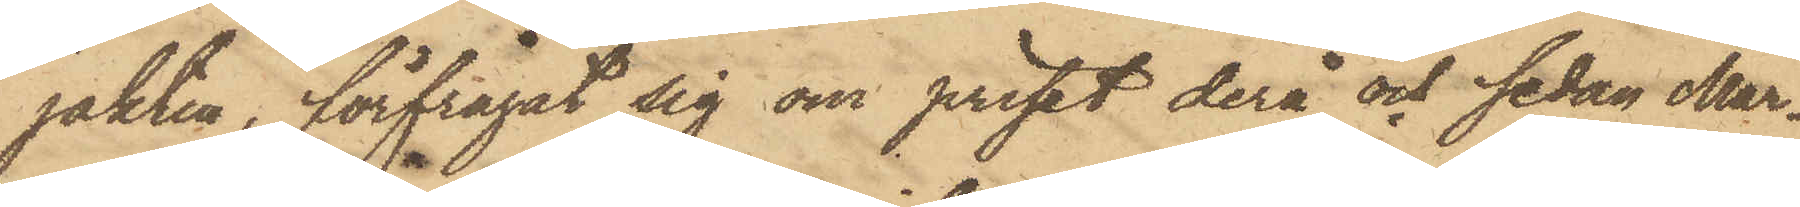jakten, förfrågat sig om priset derå och sedan Mar¬
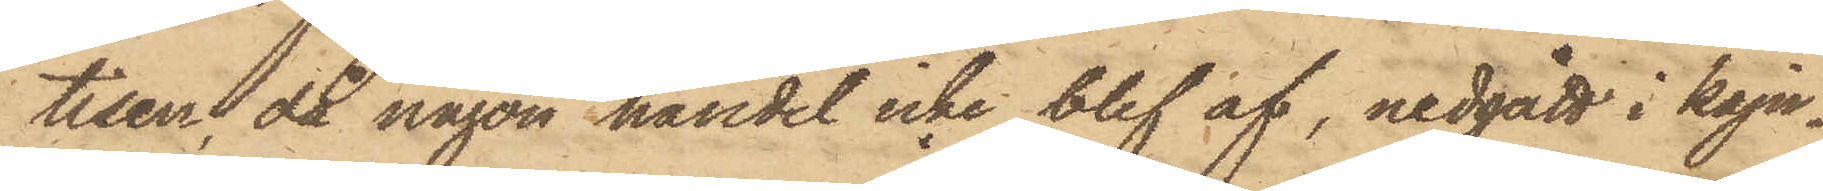tisen, då någon handel icke blef af, nedgått i kaju¬
